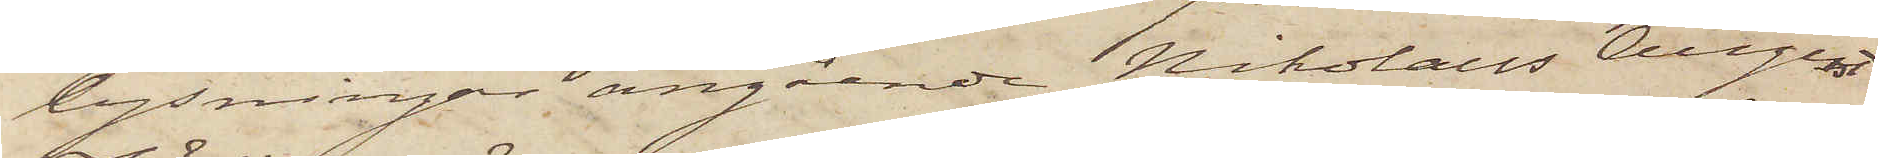lysningar angående Nikolaus August
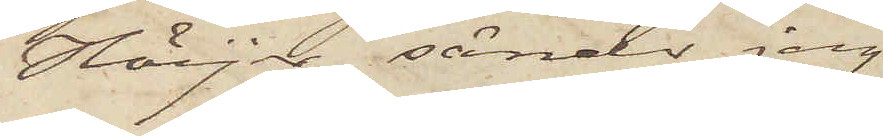Höijer sänder jag
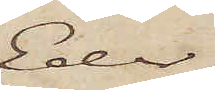Eder
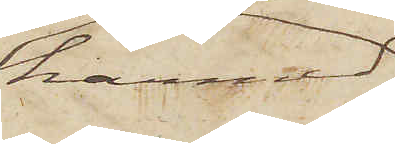härmed
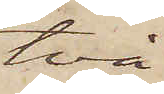två
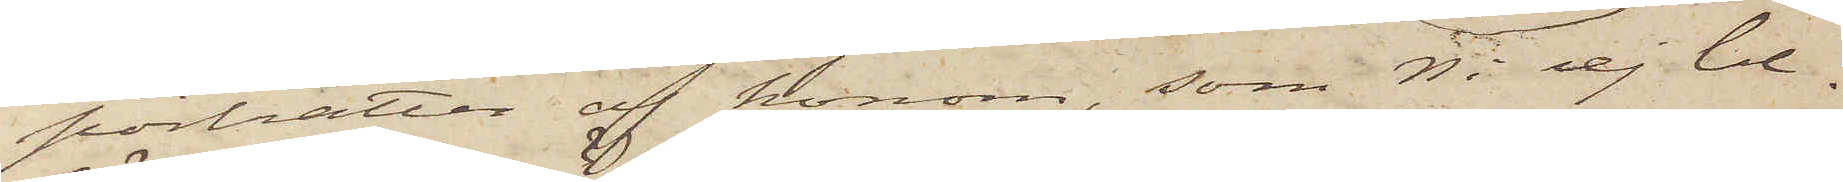porträtter af honom, som Ni ej be¬
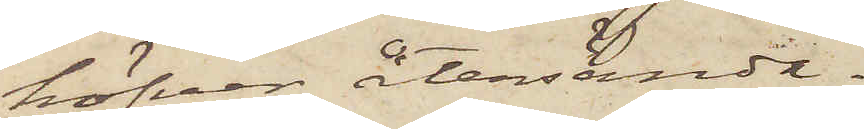höfver återsända.
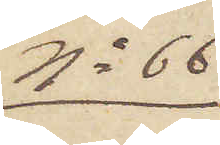No 66
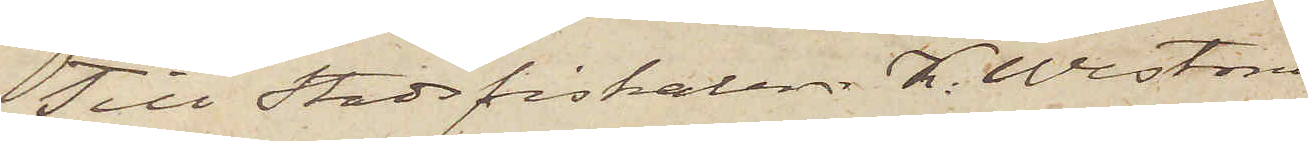Till Stadsfiskalen K. Westman.
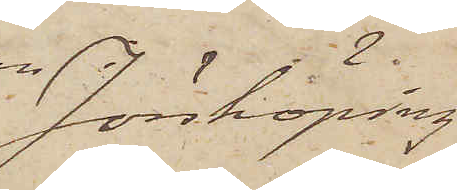Jönköping
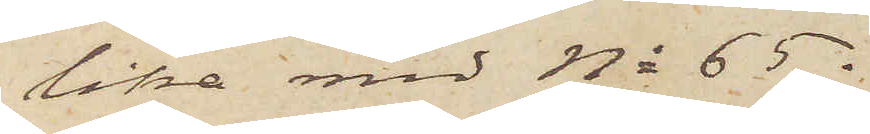lika med No 65.
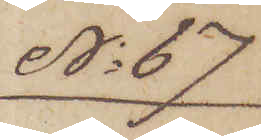No 67
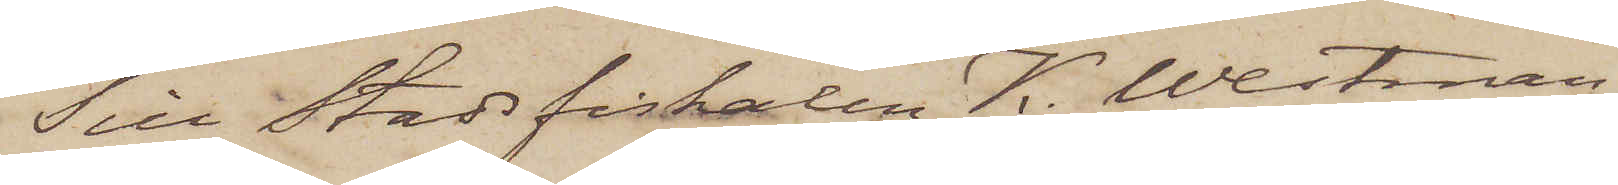Till Stadsfiskalen K. Westman
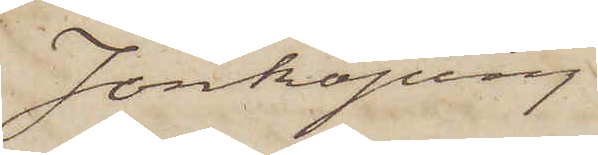Jönköping
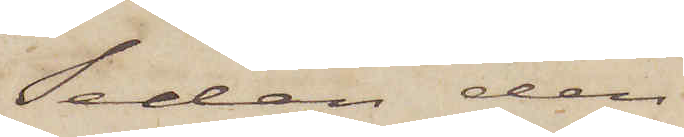Sedan den
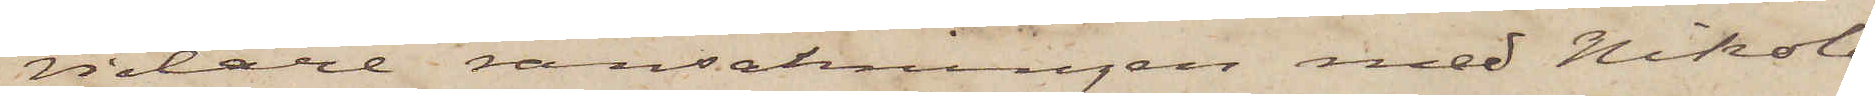vidare ransakningen med Nikola¬
